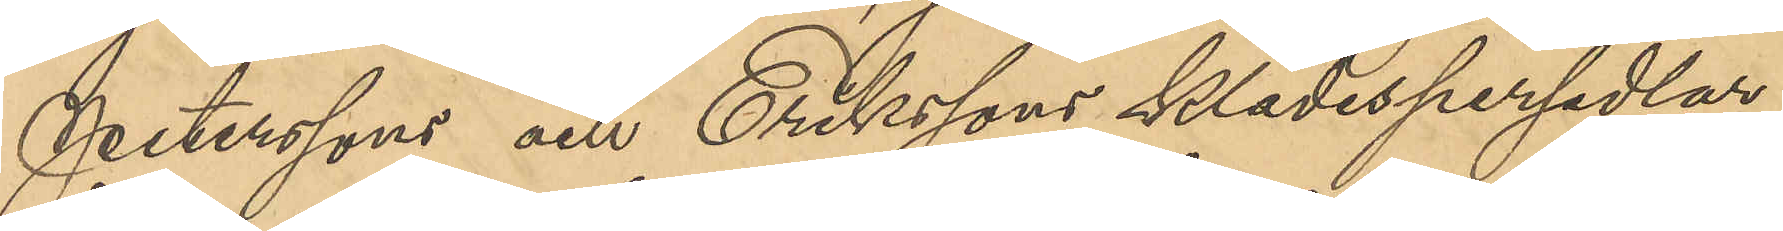Peterssons och Erikssons klädespersedlar
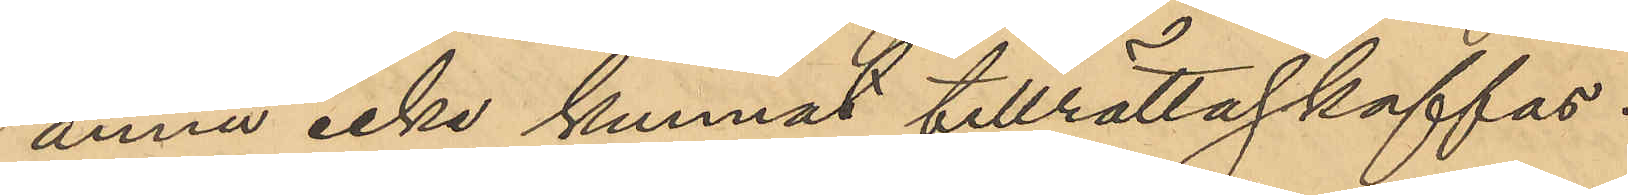ännu icke kunnat tillrättaskaffas.
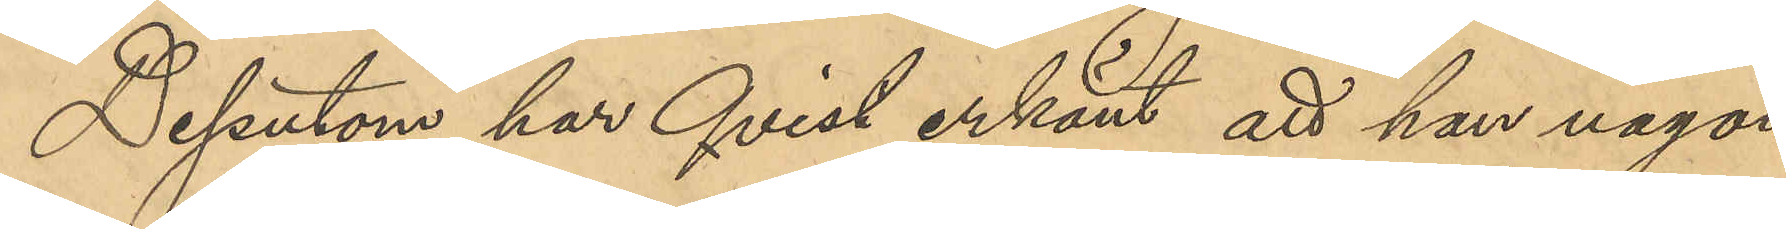Dessutom har Qvist erkänt att han någon
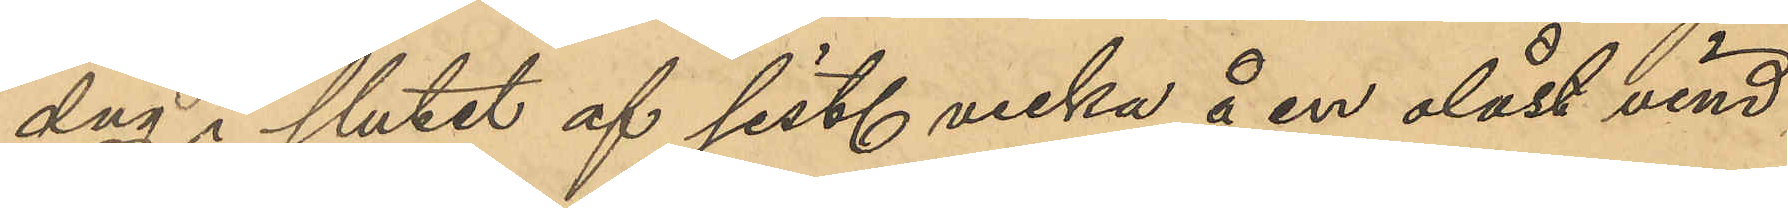dag i slutet af sist. vecka å en olåst vind
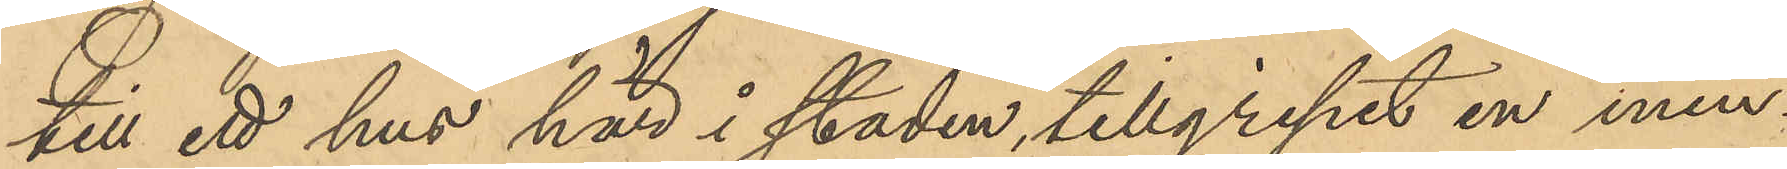till ett hus här i staden tillgripit en min¬
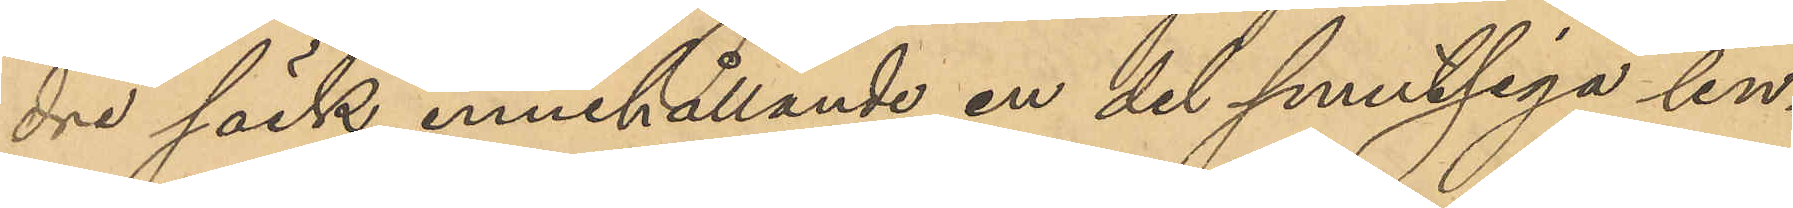dre säck innehållande en del smutsiga lin¬
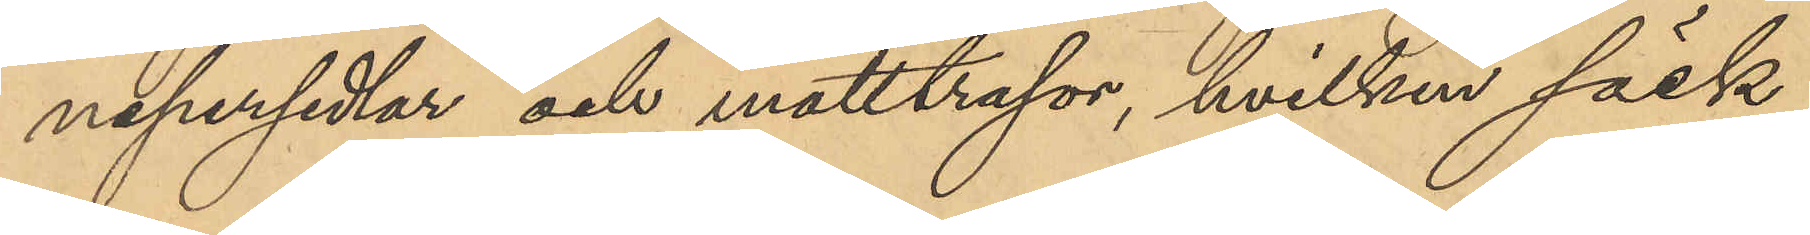nepersedlar och mattrasor, hvilken säck
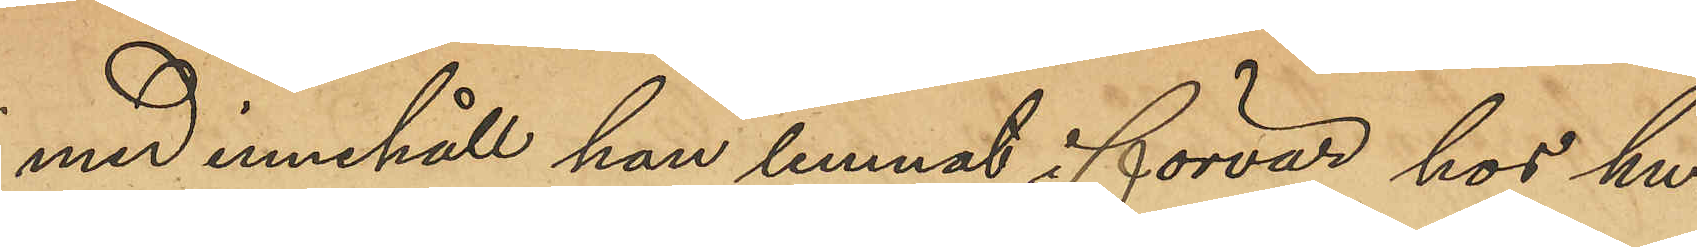med innehåll han lemnat i förvar hos hu¬
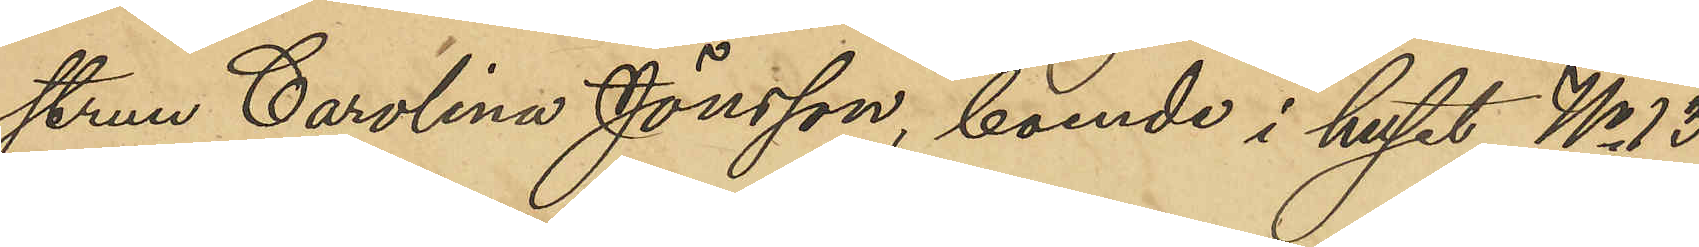strun Carolina Jönsson, boende i huset No 13
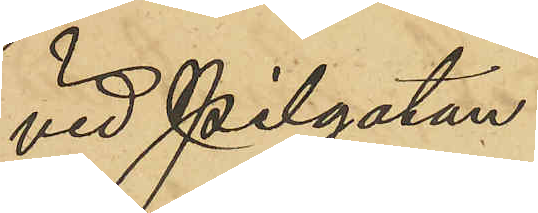vid Pilgatan.
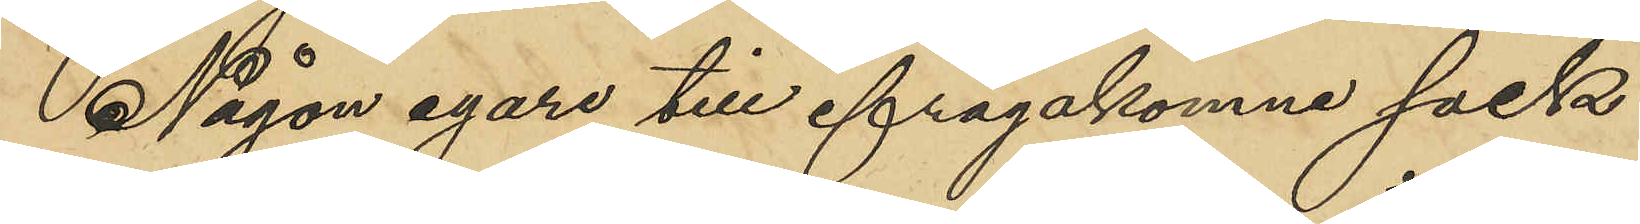Någon egare till ifrågakomne säck
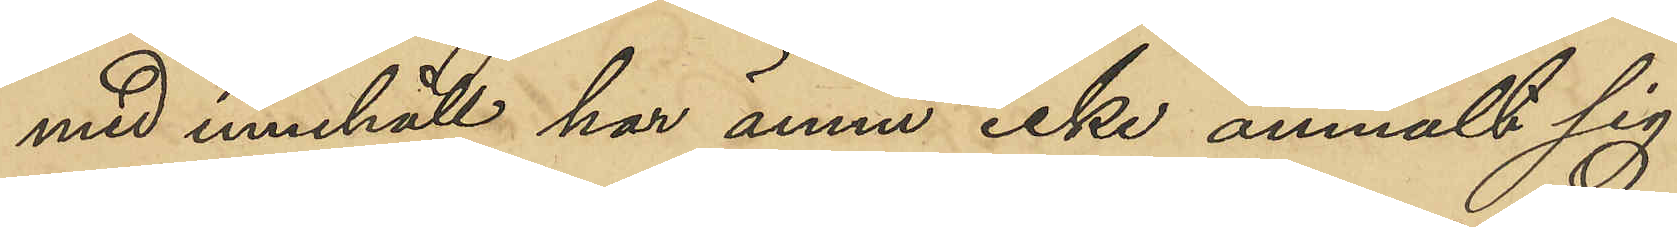med innehåll har ännu icke anmält sig.
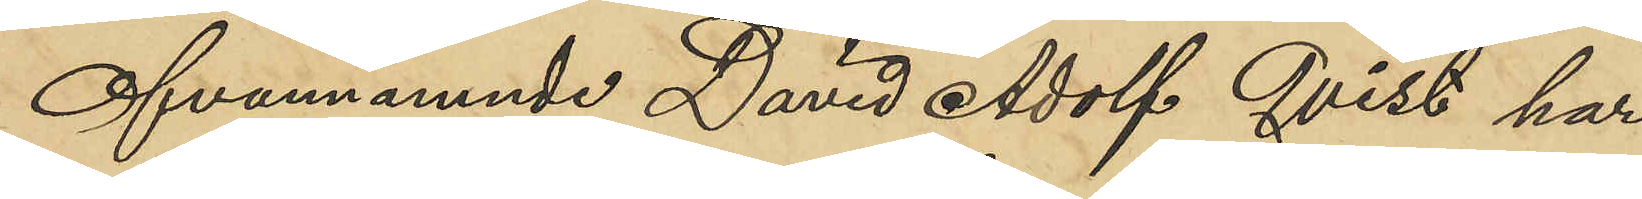Ofvannämnde David Adolf Qvist har
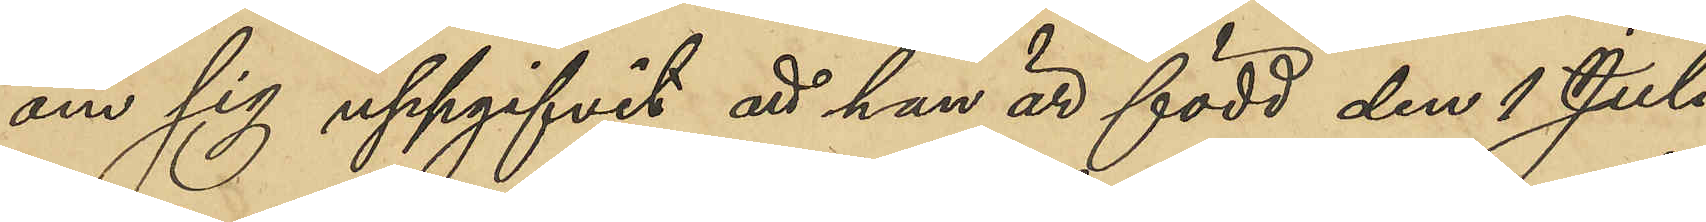om sig uppgifvit att han är född den 1 Juli
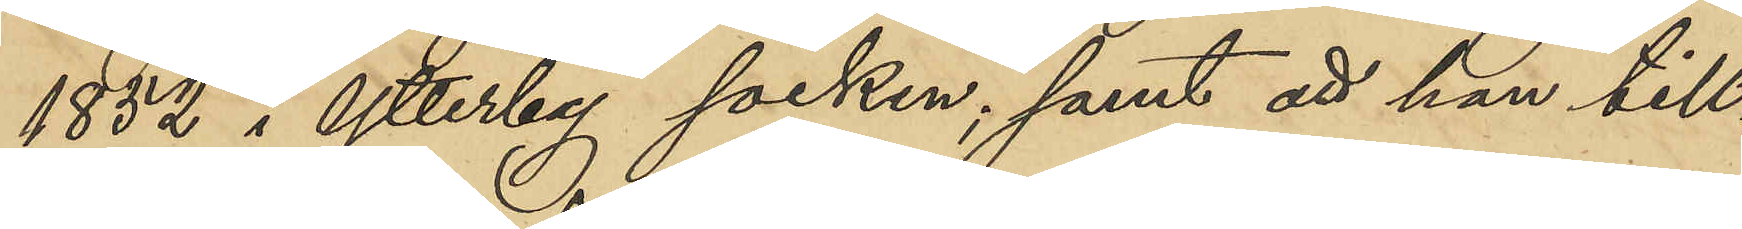1852 i Ytterby socken; samt att han till¬
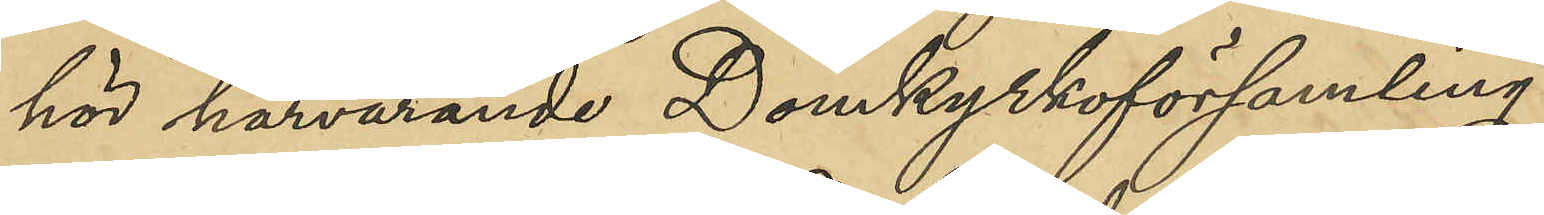hör härvarande Domkyrkoförsamling.
